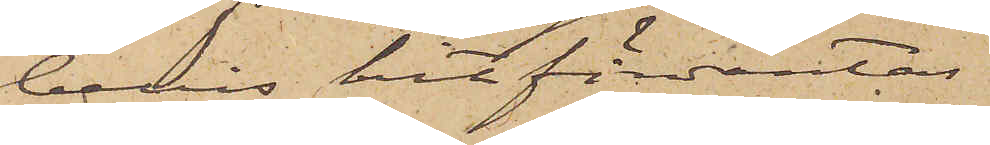bevis hitförväntas
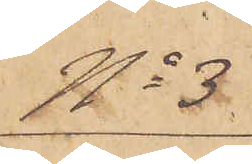No 3.
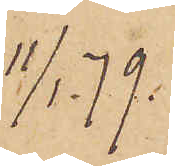11/1. 79.
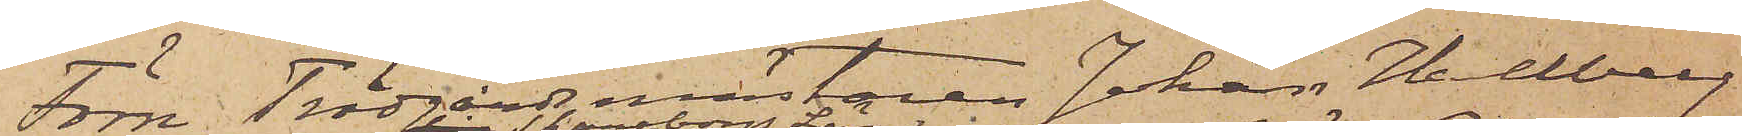Förre Trädgårdsmästaren Johan Hallberg
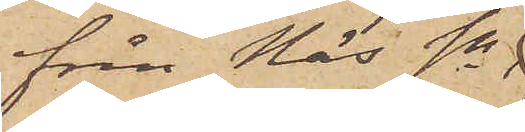från Näs sn
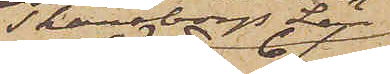Skaraborgs Län,
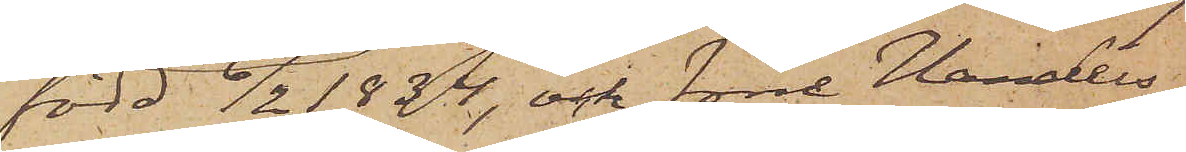född 6/2 1834, och förre Handels¬
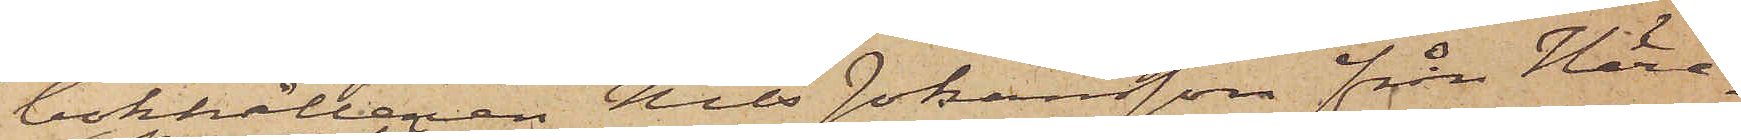bokhållaren Nils Johansson från Häre¬
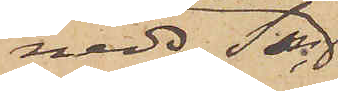neds Sn
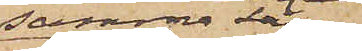samma Län,
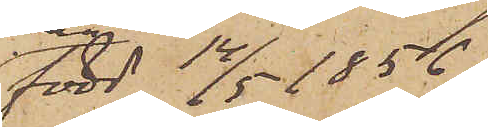född 14/5 1856,
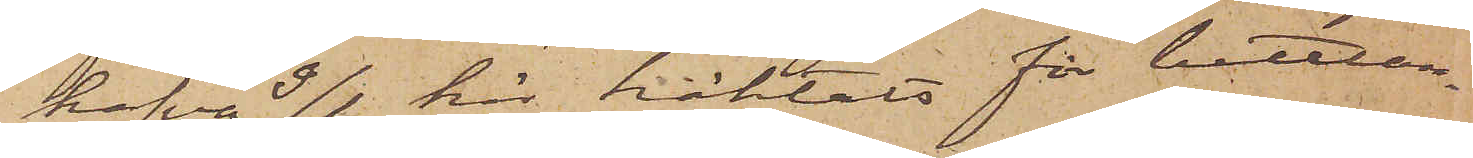hafva 9/1 här häktats för bettlan¬
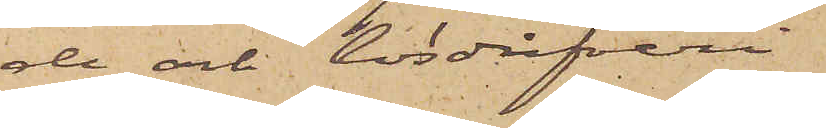de och lösdrifveri.
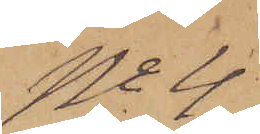No 4
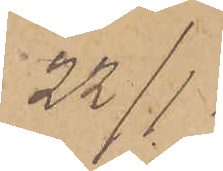22/1
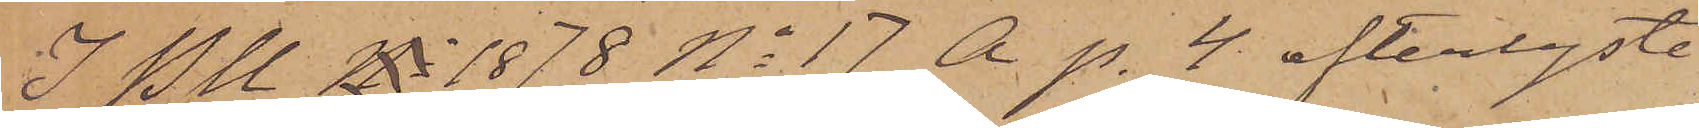I PU No 1878 No 17 A p. 4 efterlyste
